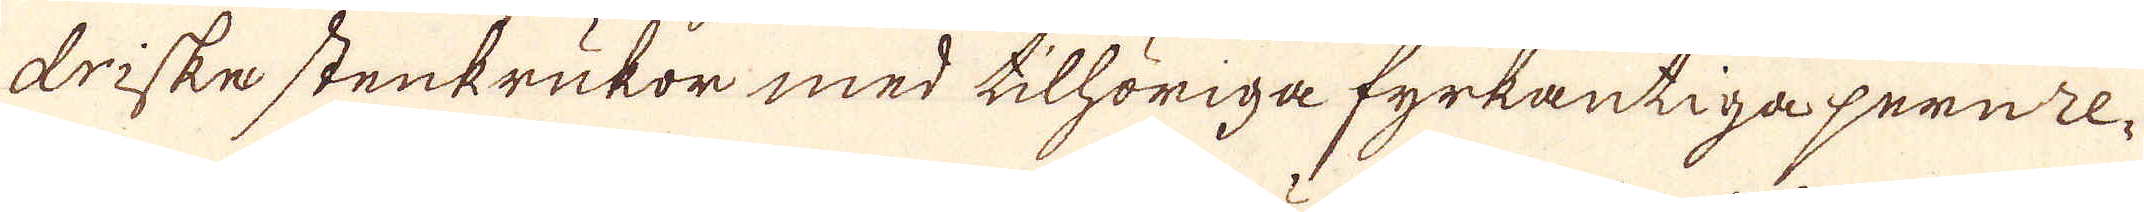driske stenkrukor med tillhöriga fyrkantiga jernre-
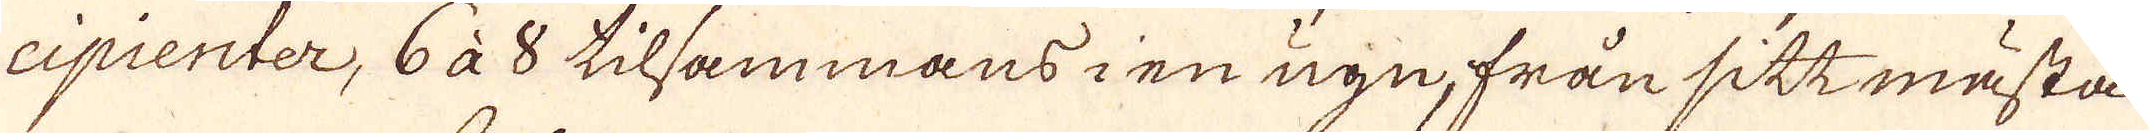cipienter, 6 à 8 tilsammans i en ugn, från sitt mästa
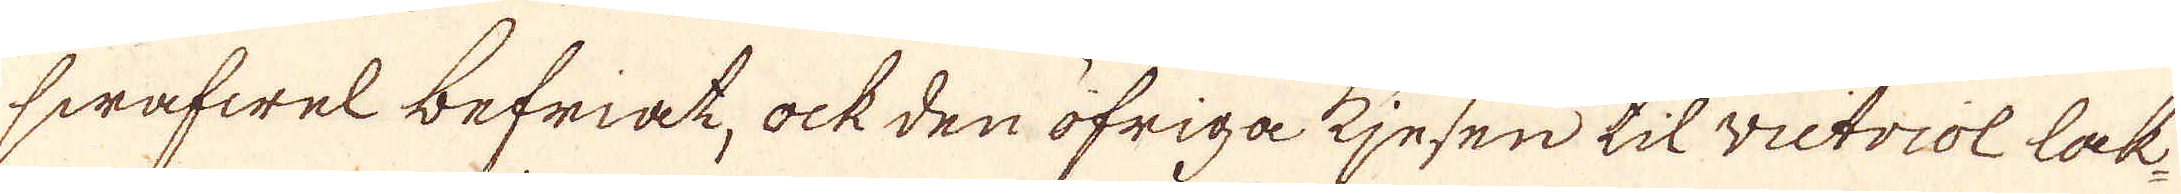swafwel befriat, ock den öfriga kjesen til victriol lak-
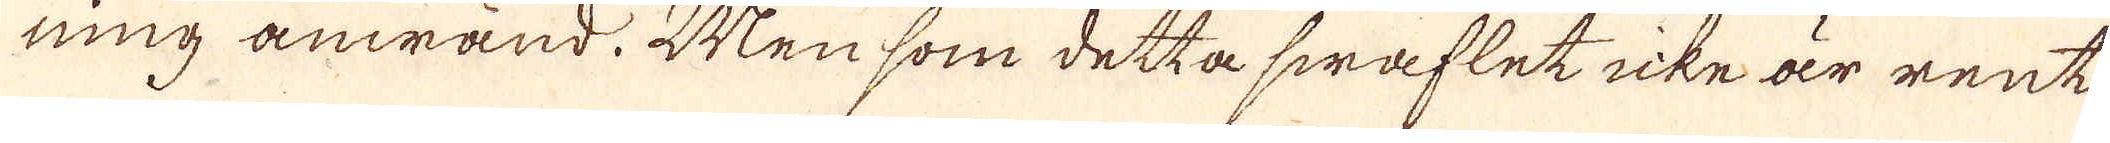ning anwänd. Men som detta swaflet icke är rent
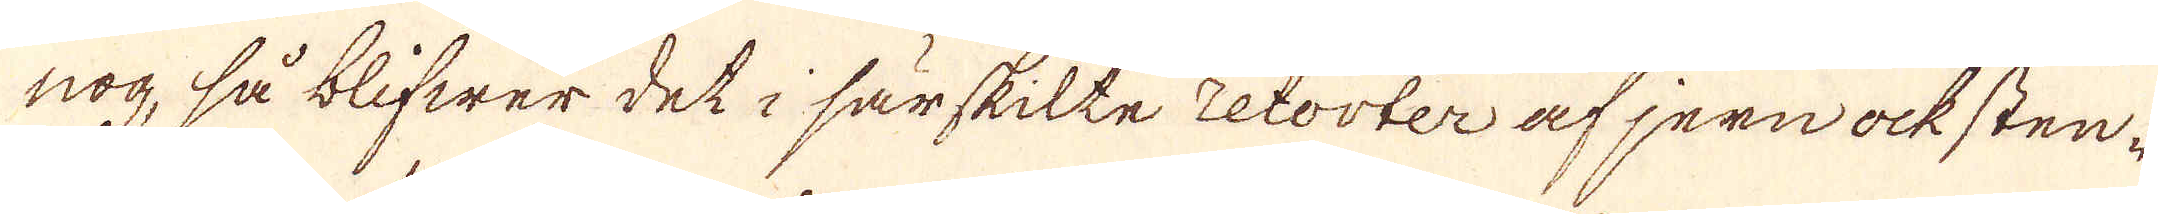nog, så blifwer det i särskilte retorter af jern ock sten-
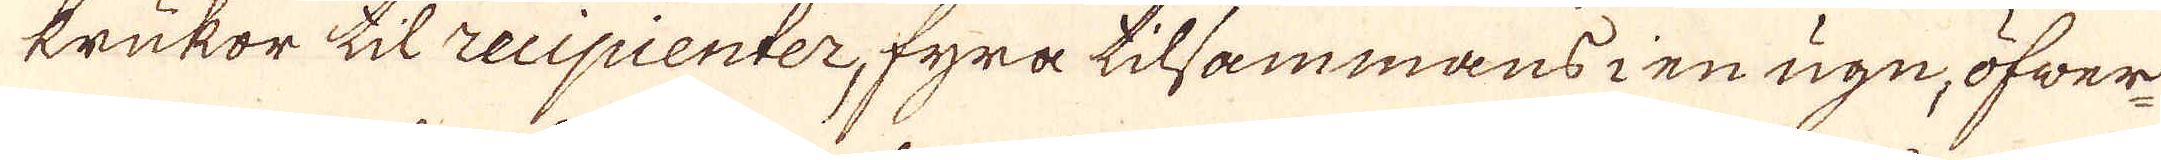krukor til recipienter, fyra tilsammans ien ugn, öfwer
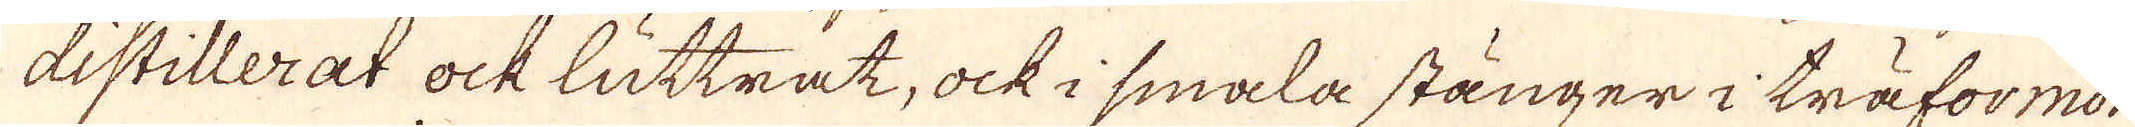distillerat ock luttrat, ock i smala stänger i träformor
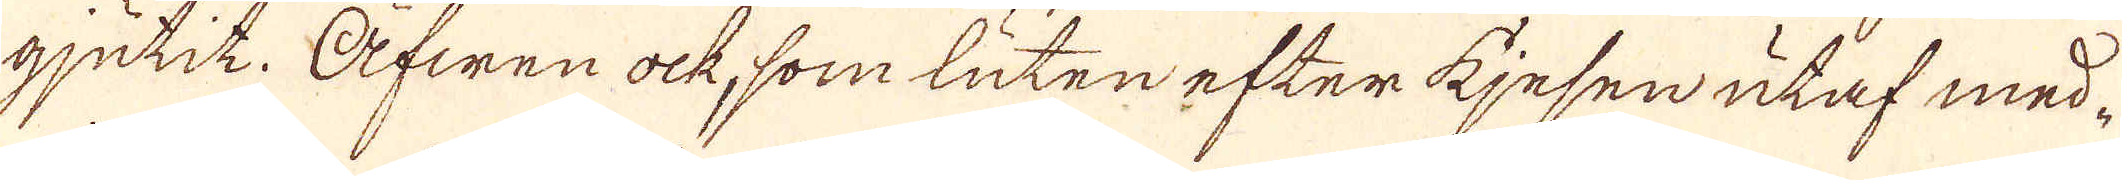gjutit. Äfwen ock, som luten efter kjesen utaf med
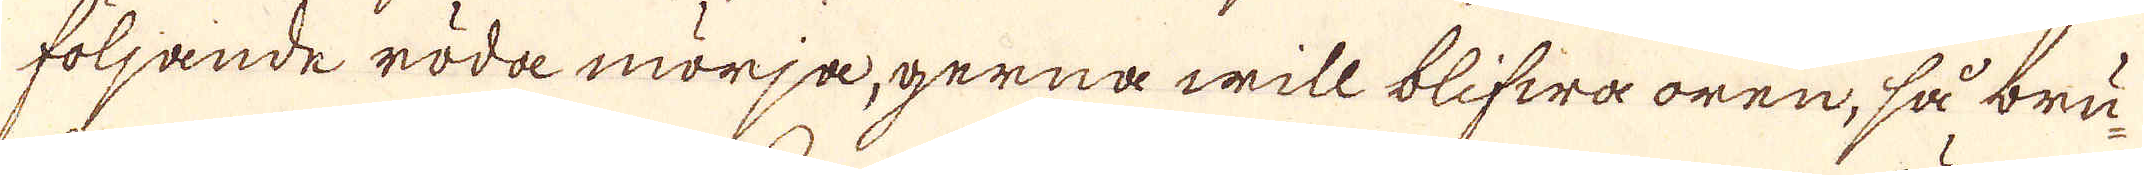följande röda mörja, gerna will blifwa oren, så bru-
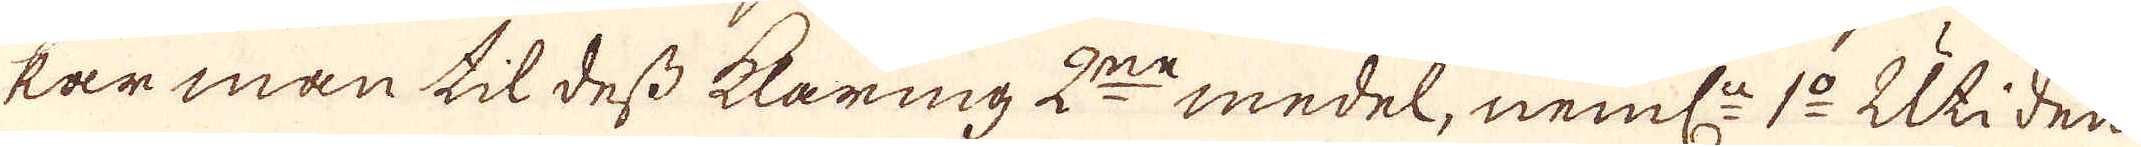kar man til dess klaring 2:ne medel, neml: 1:o Uti den
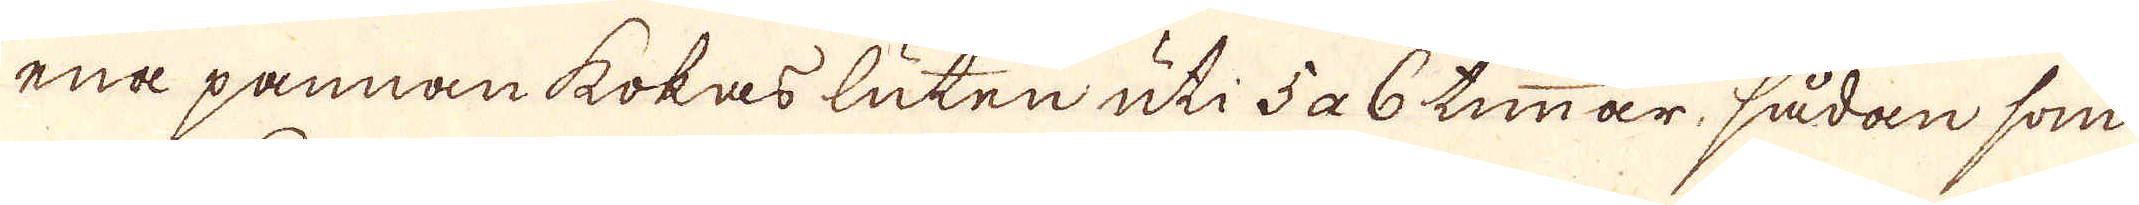ena pannan kokas luten uti 5 a 6 timmar, sådan som
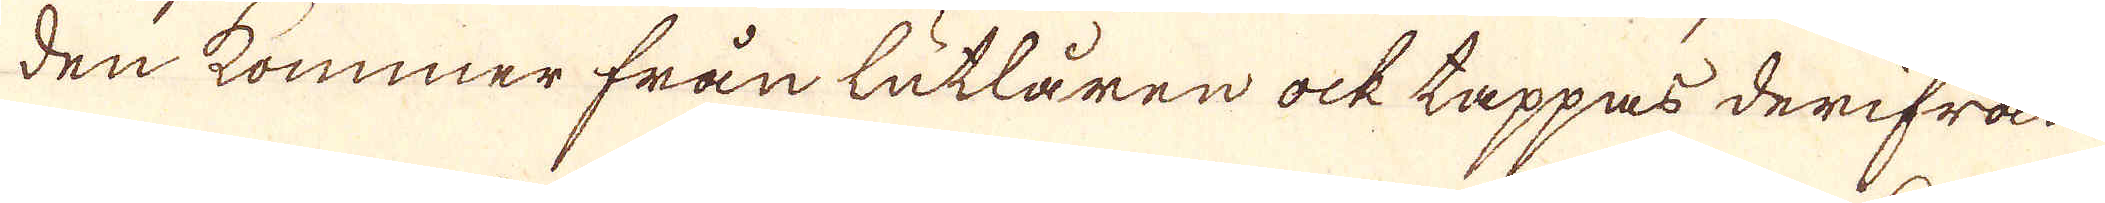den kommer från lutlåren ock tappas derifrån
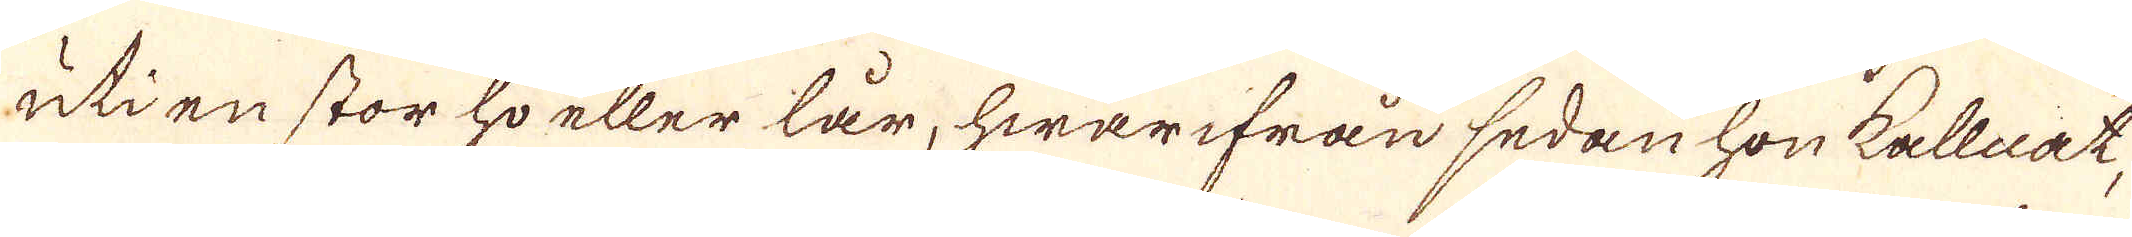uti en stor ho eller lår, hwarifrån sedan hon kallat,
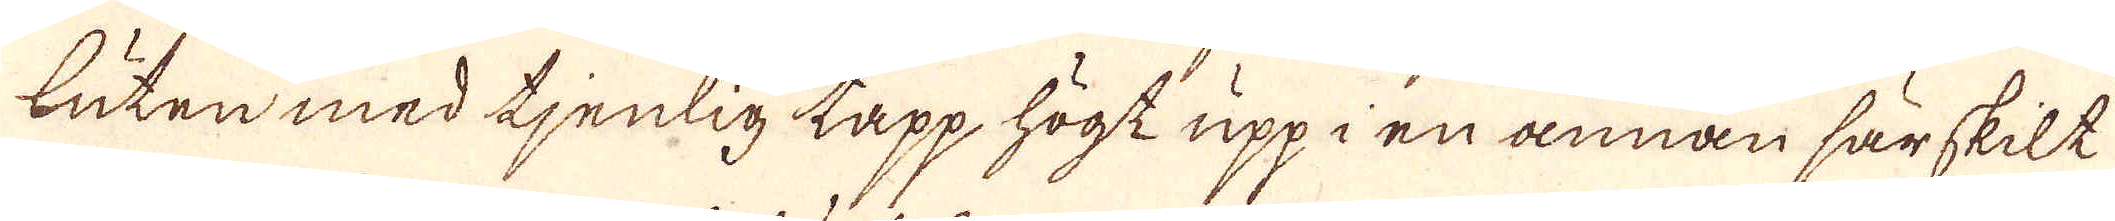luten med tjenlig tapp högt upp i en annan särskilt
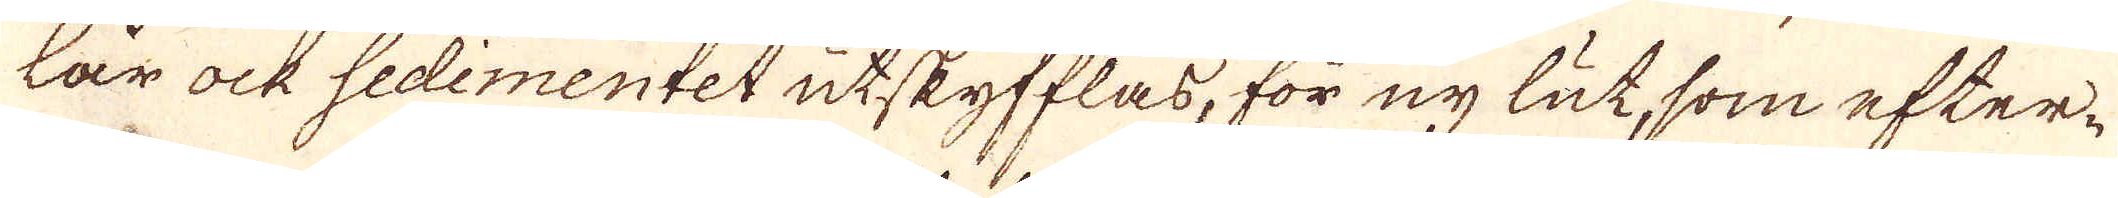lår ock sedimentet utskyfflas, för ny lut, som efter-
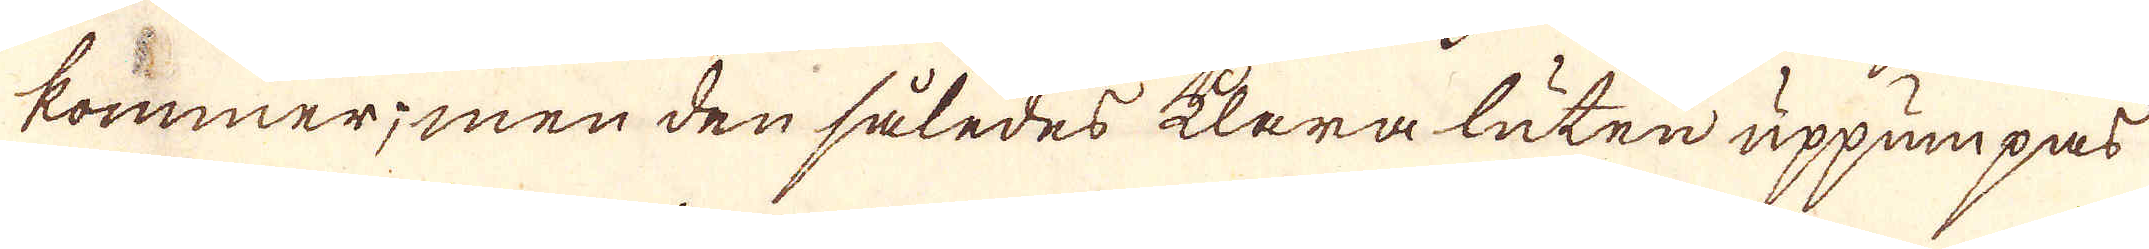kommer; men den således klera luten uppumpass
